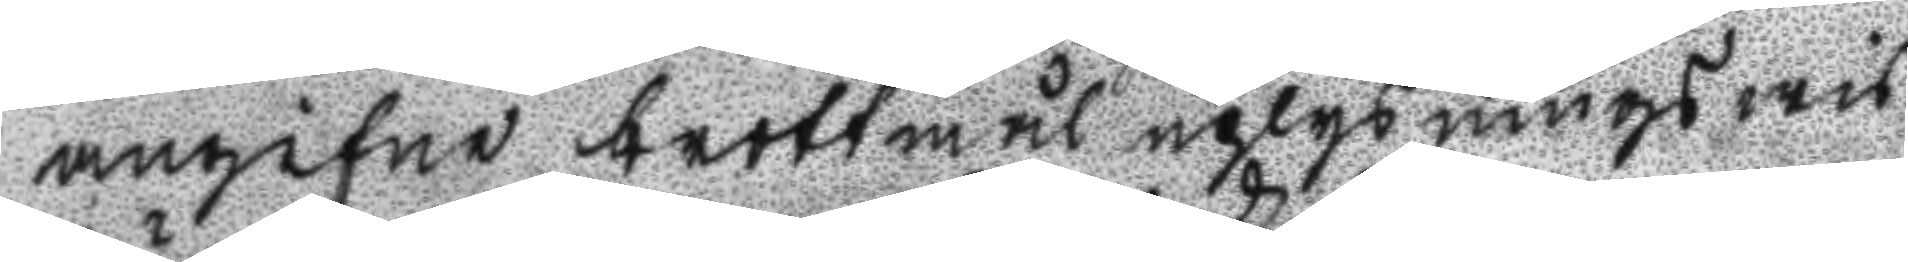angifne brottmål uplysningswis
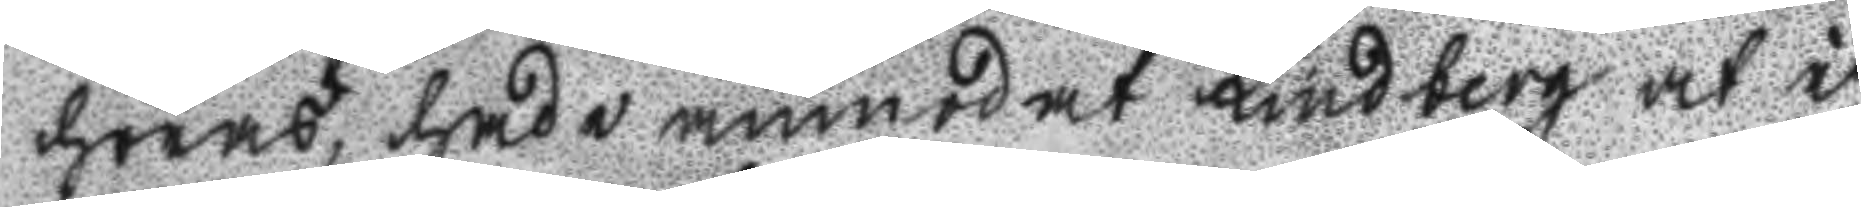höras, hade anmodat Lindberg at i
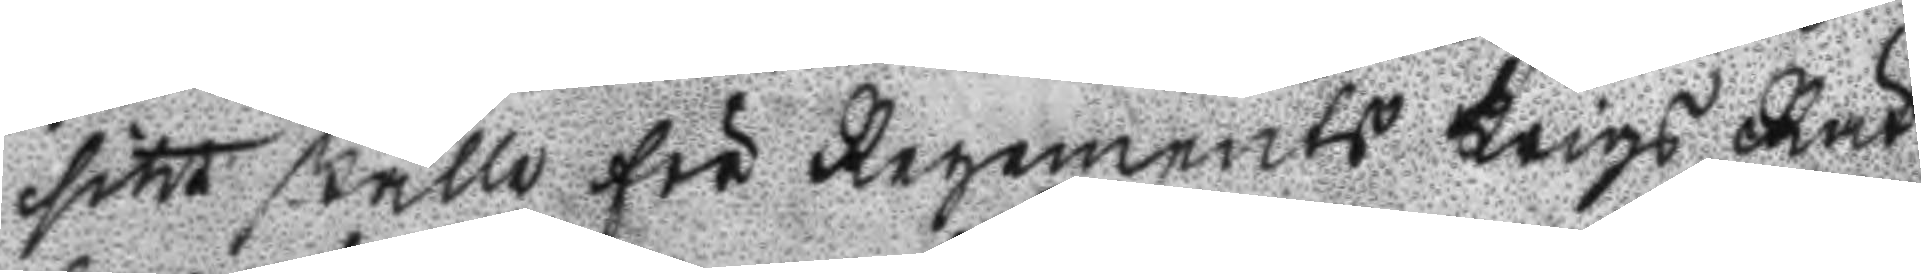sitt ställe för Regements Krigs Rät
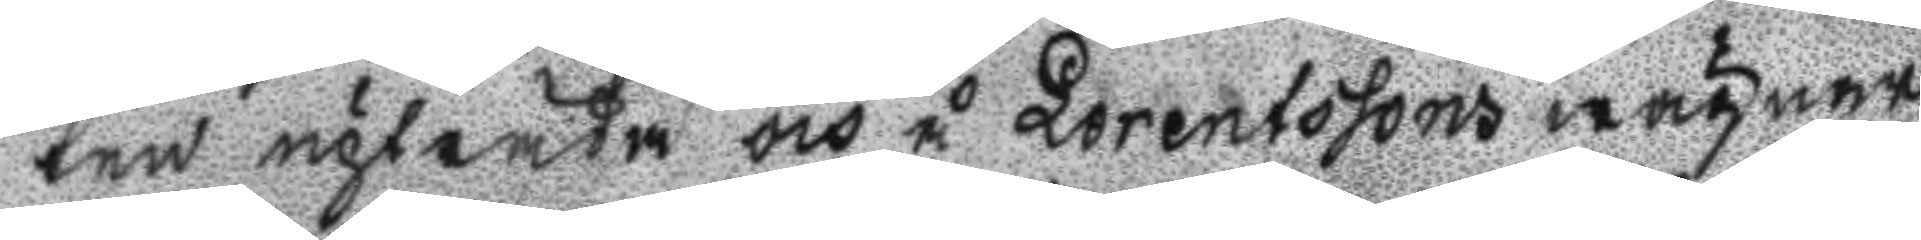ten upträda och å Lorentssons wägnar,
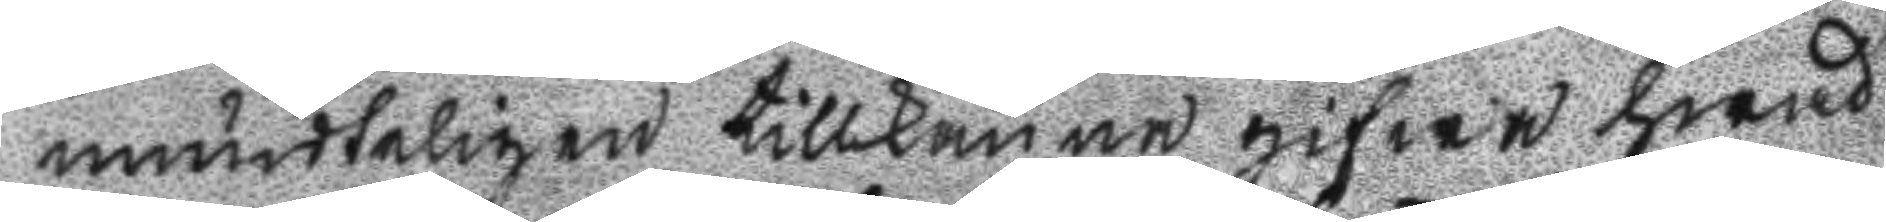mundteligen tillkänna gifwa hwad
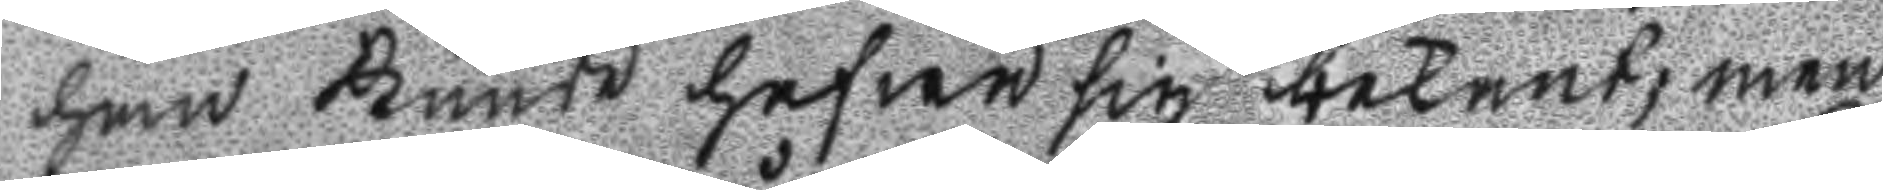han kunde hafwa sig bekant; men
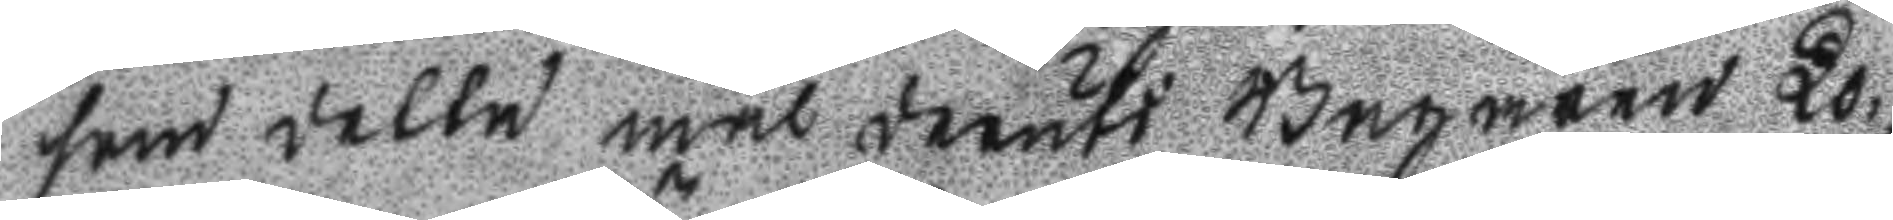som detta mål deruti Bagaren Lo¬
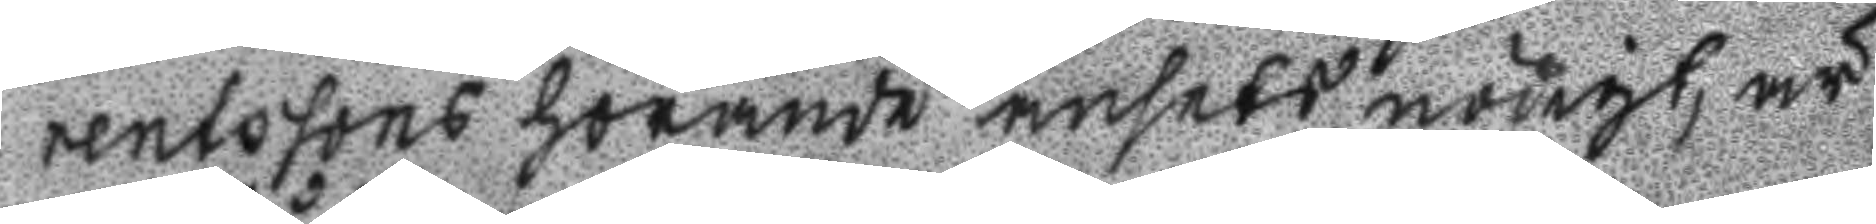rentssons hörande ansets nödigt, är
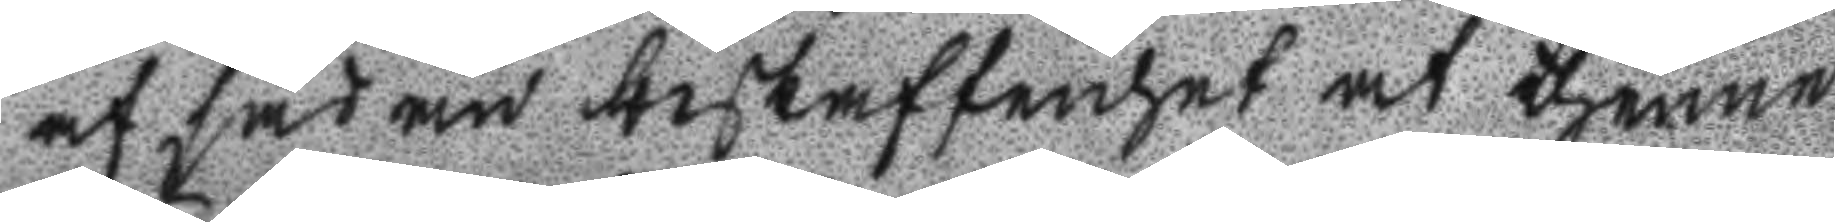af sådan beskaffenhet at thenne
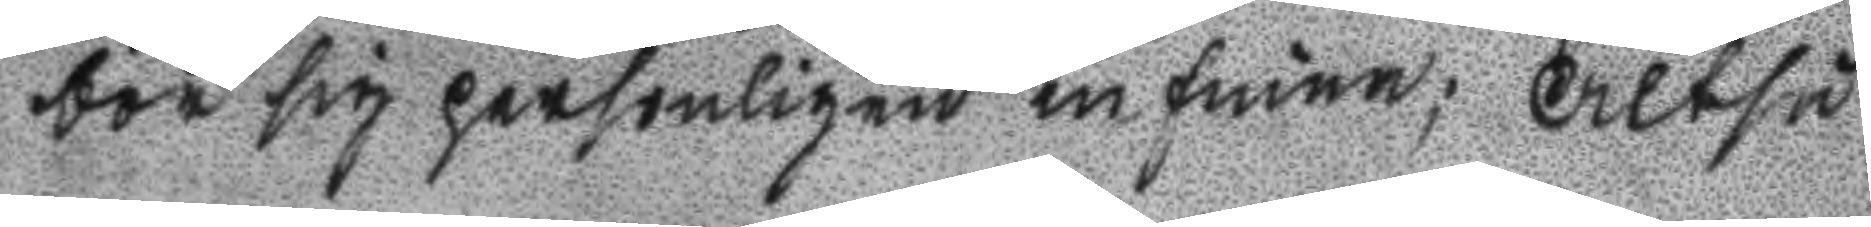bör sig personligen infinna; Altså
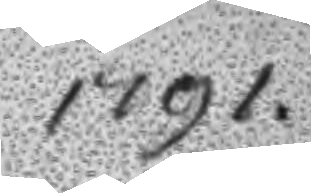1791.
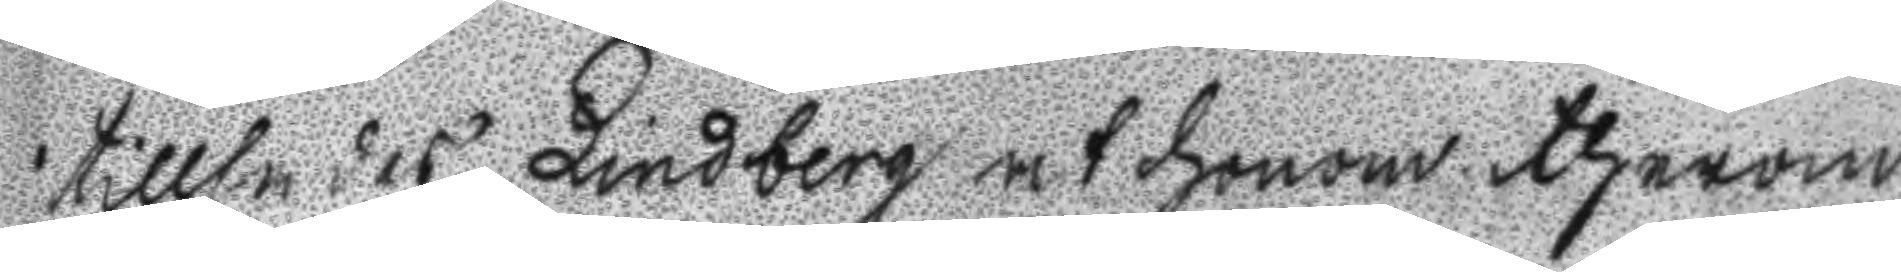tillsades Lindberg at honom therom
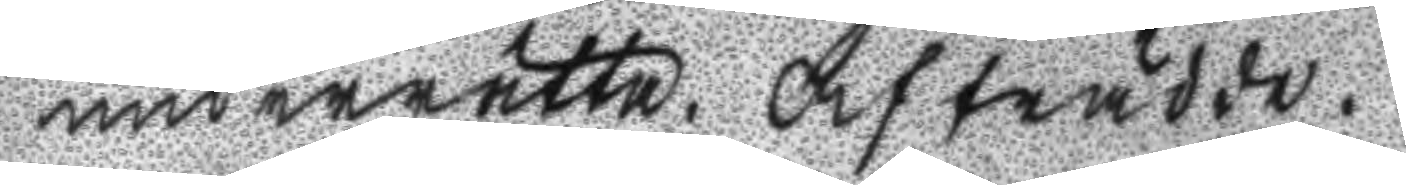underrätta. Afträdde.
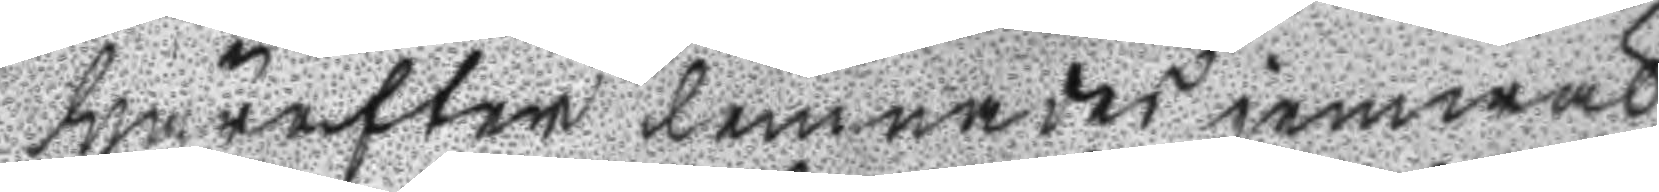Härefter lemnades jemwäl
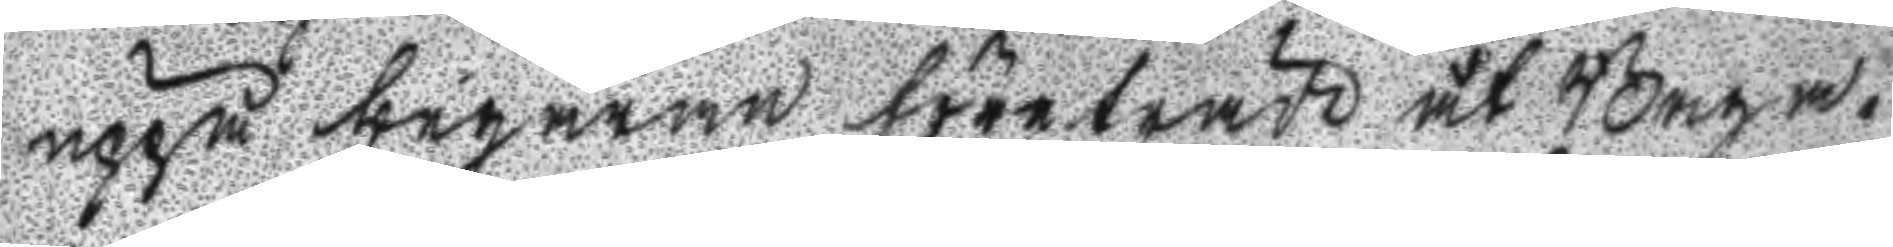uppå begäran företräde åt Baga¬
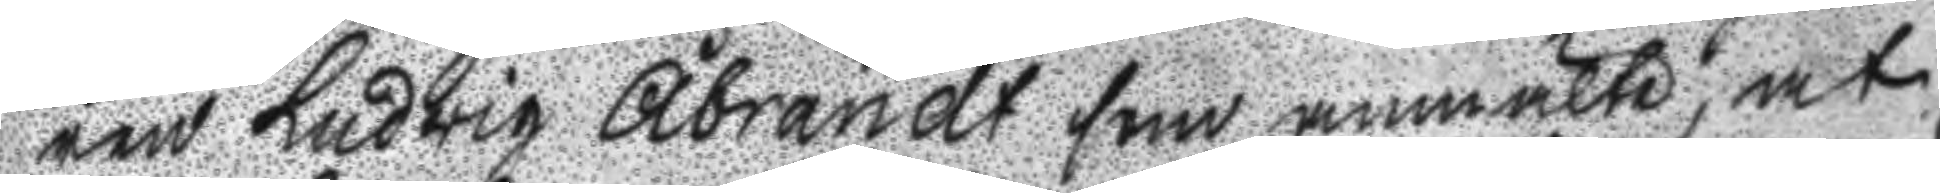ren Ludwig Åbrandt som anmälte, at
